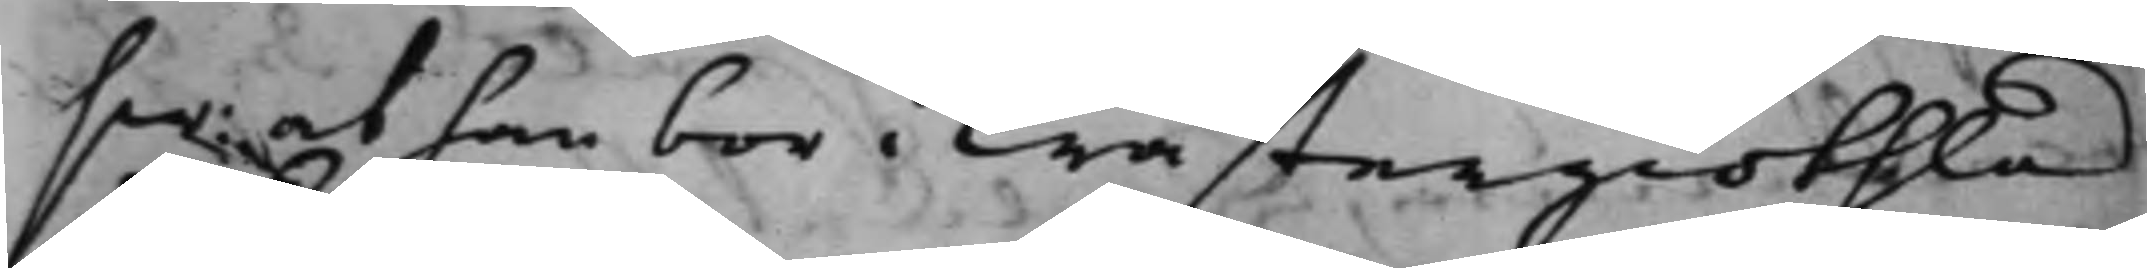sw: at han bor i Wästergiöthland
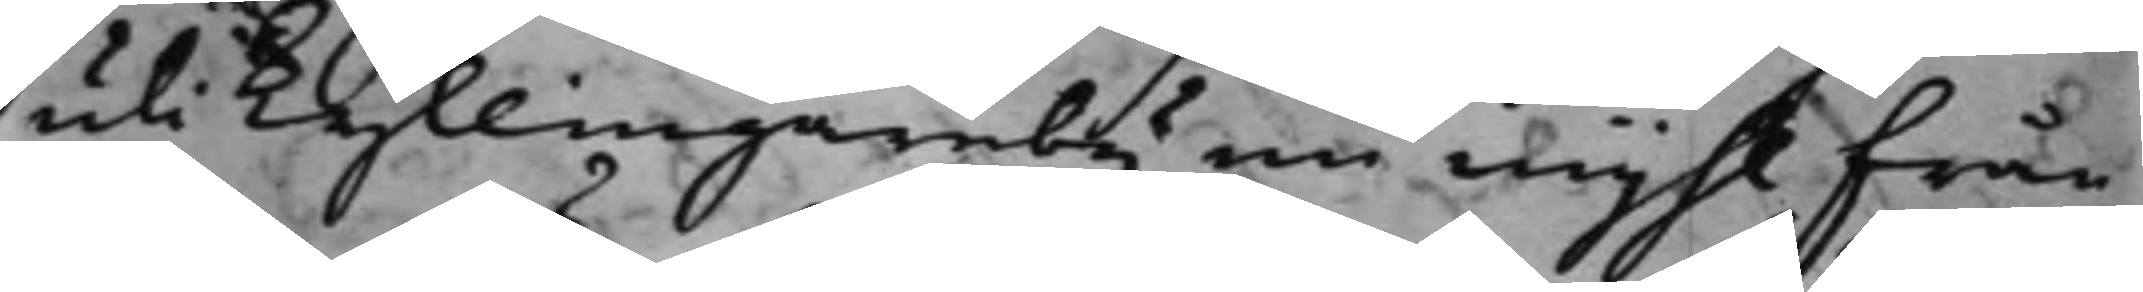uti Kyllingareby en mijhl från
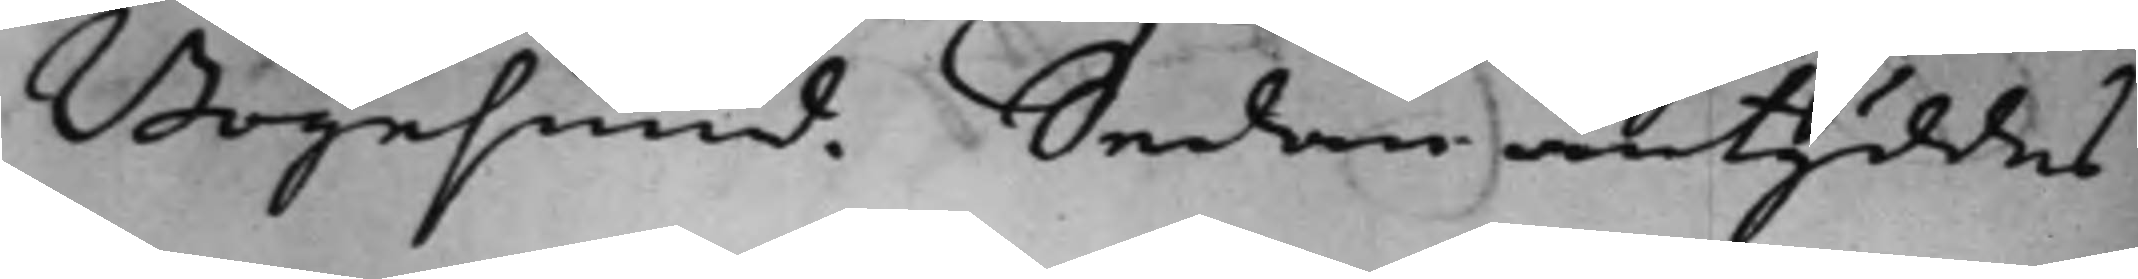Bogesund. Sedan antyddes
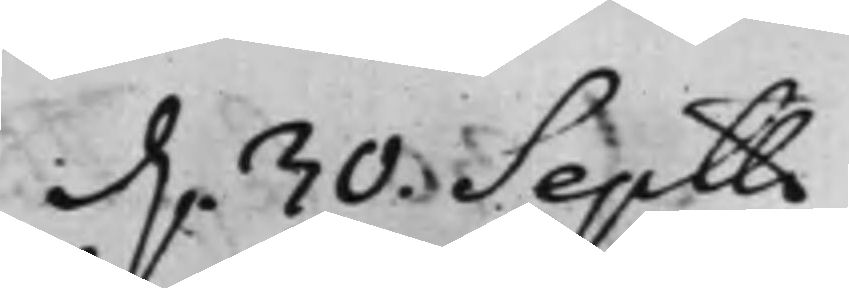d. 30. Septbr
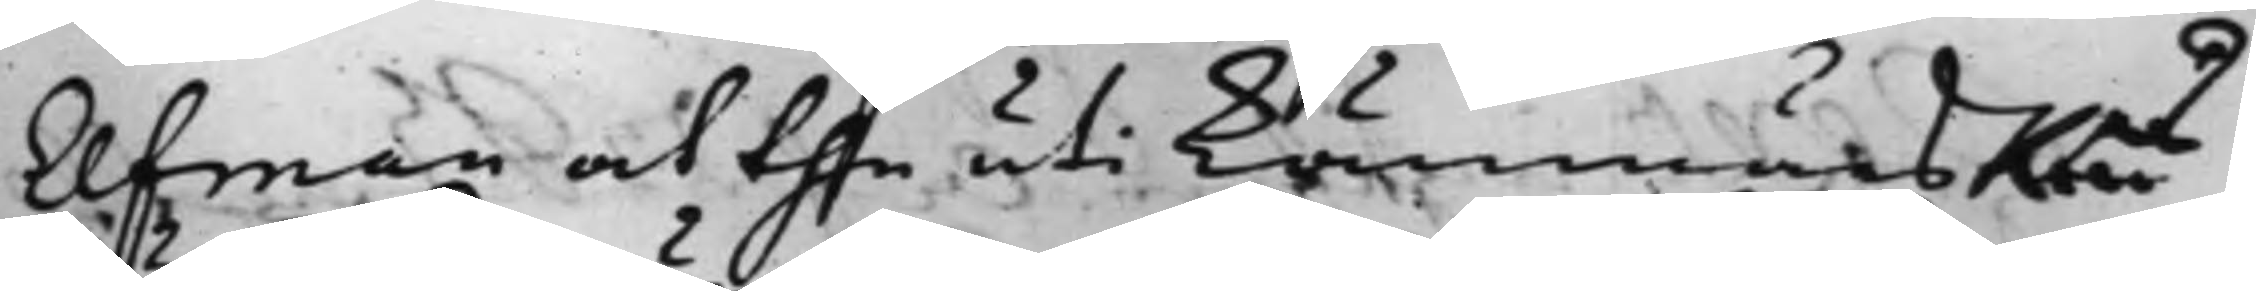Elfman at the uti KämmärsRäs¬
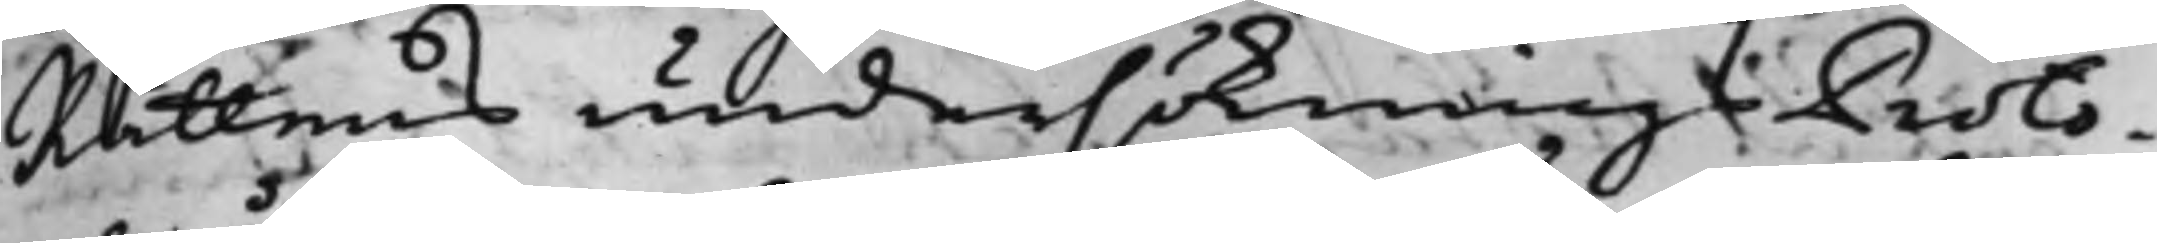Rättens undersöknings Proto¬
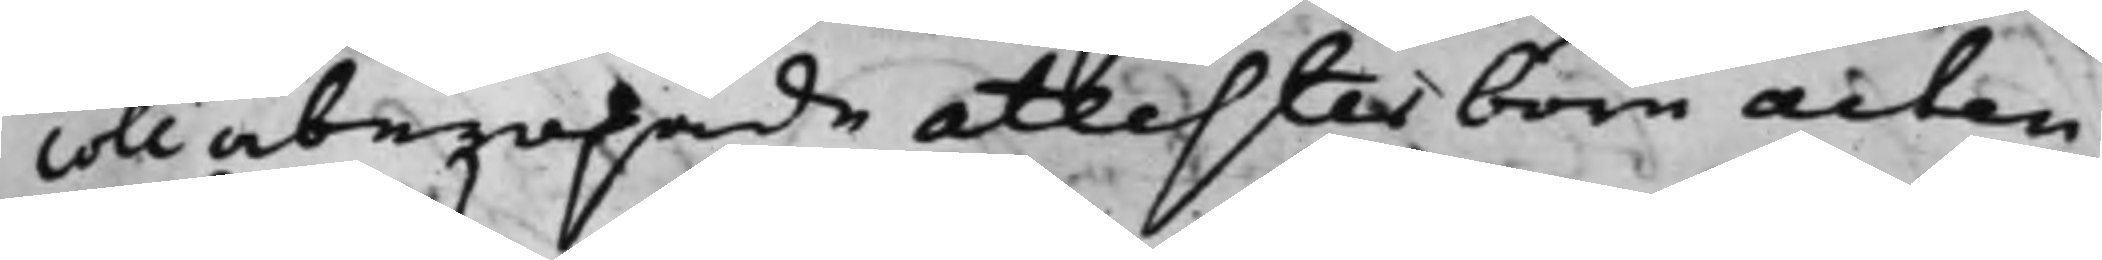coll åberopade attester böre acten
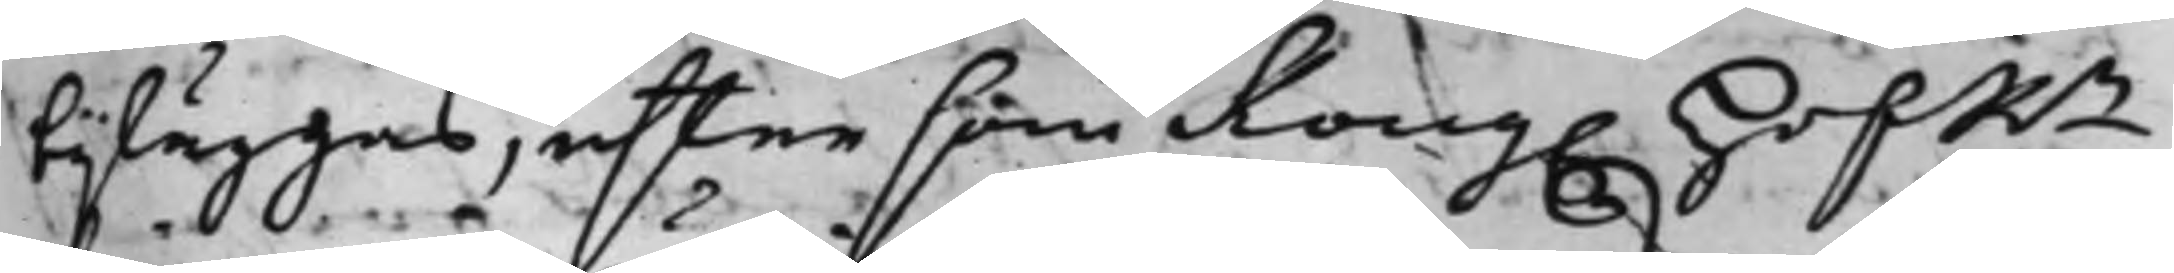bijläggas, eftersom Kong. HofRn
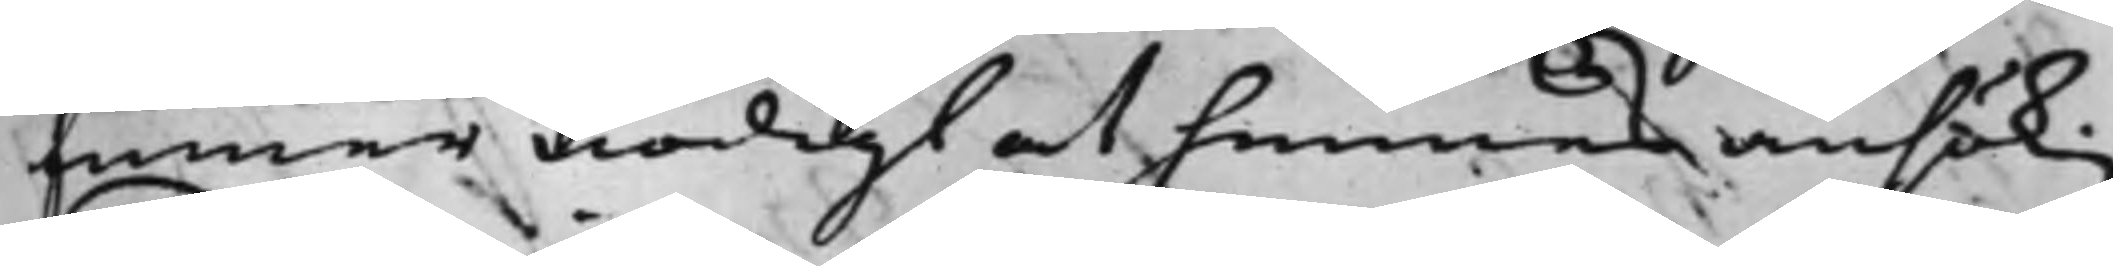finner nödigt at hennes ansökning
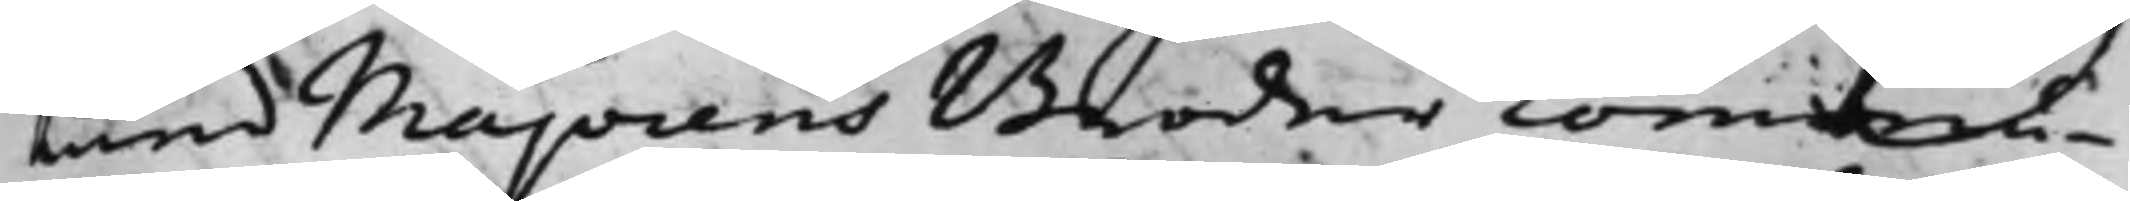med Majorens Broder commu¬
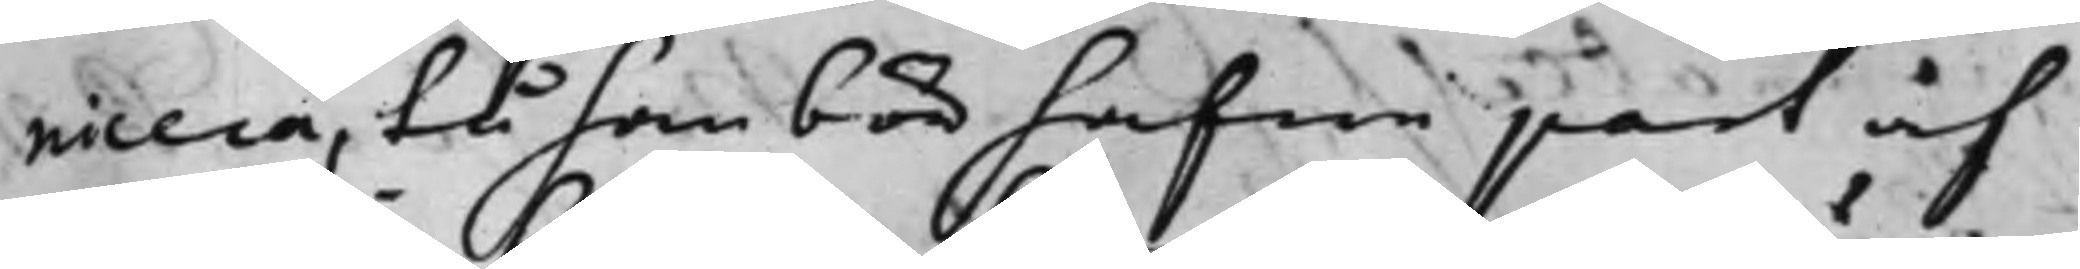nicera, tå han bör hafwa part af
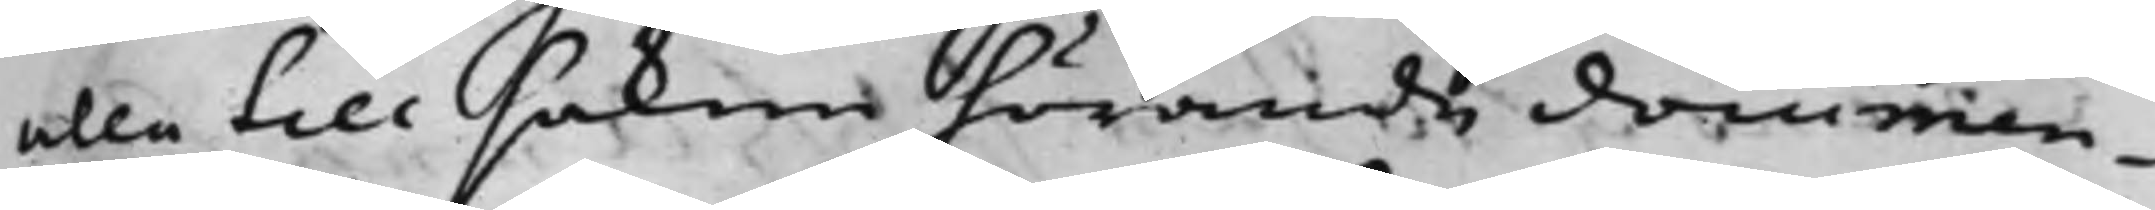alla till saken hörande documen¬
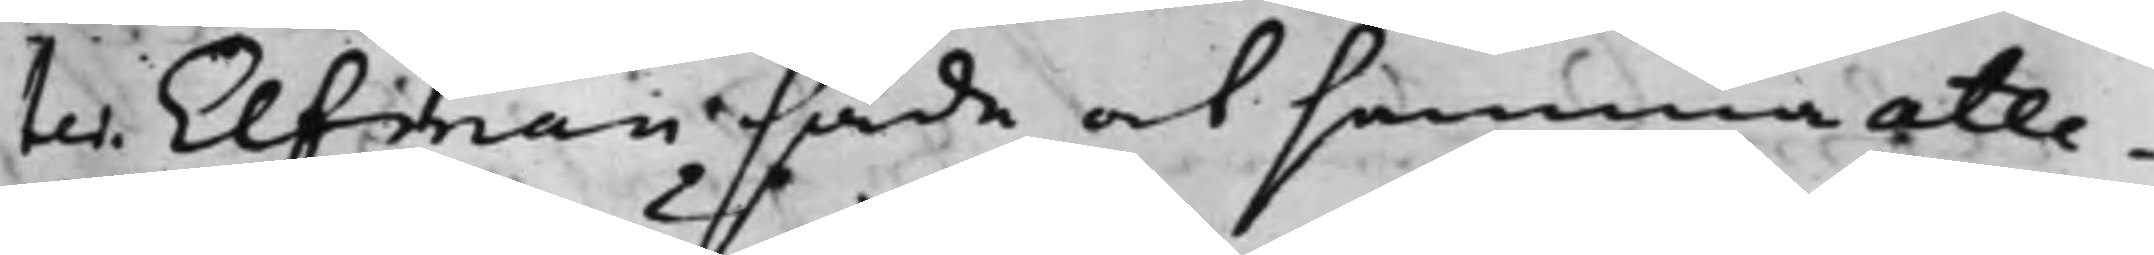ter. Elfman sade at samma atte¬
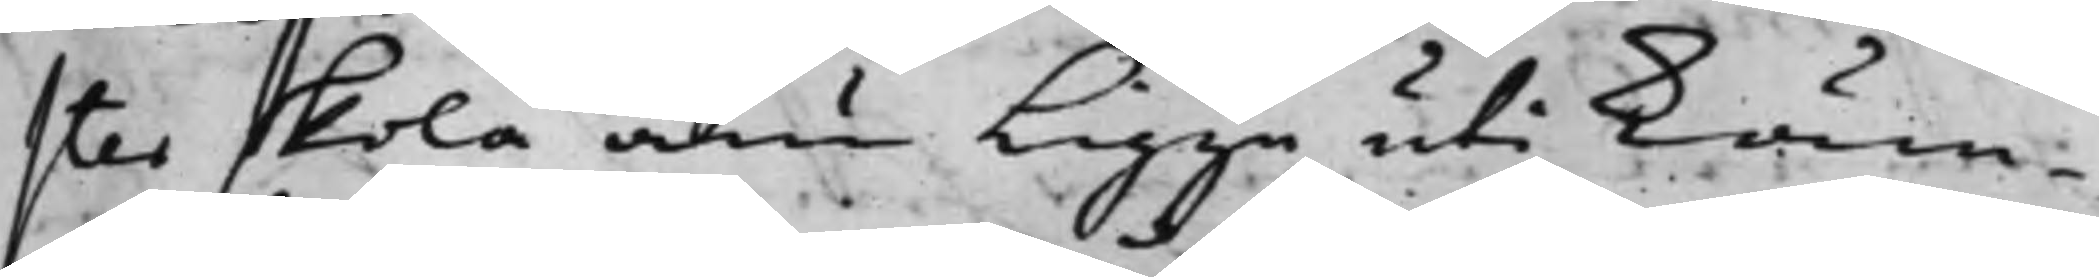ster skola änu ligga uti Käm¬
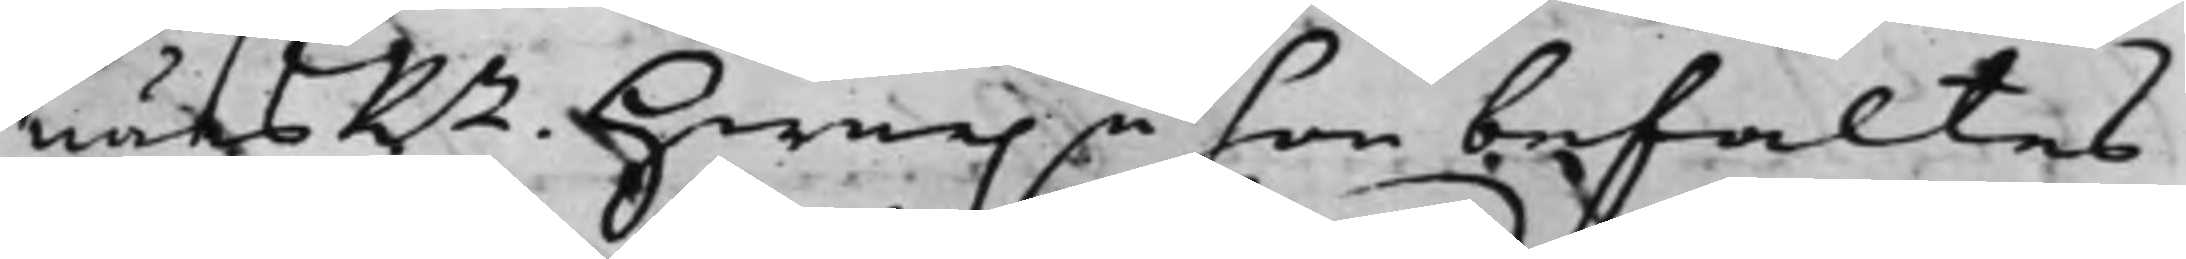närsRn. Hwarpå hon befaltes
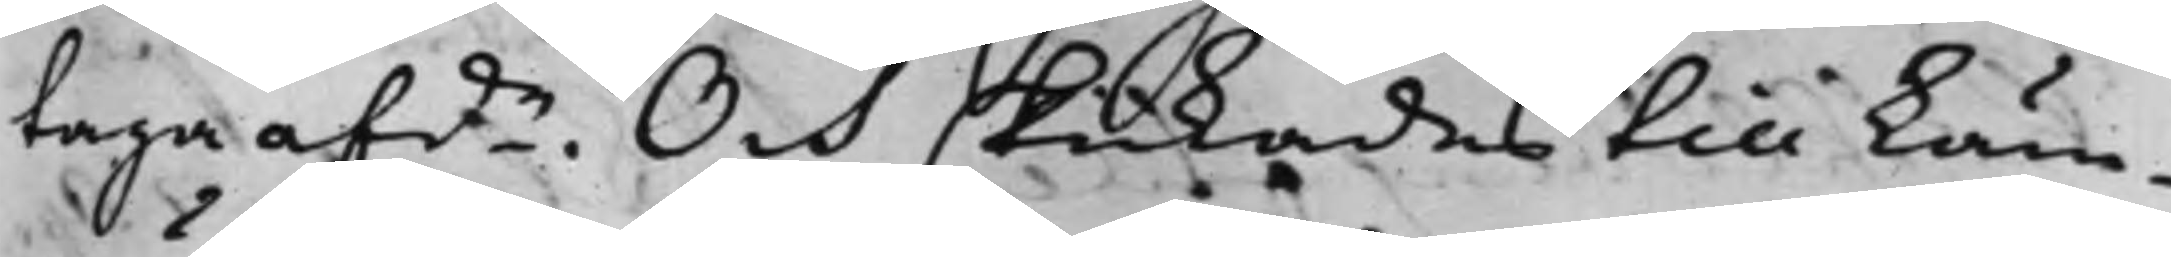taga afde. Och skickades till Käm¬
